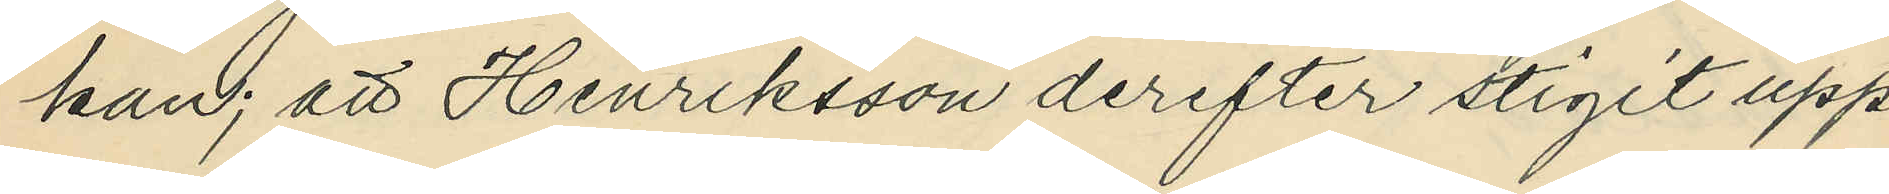kan; att Henriksson derefter stigit upp
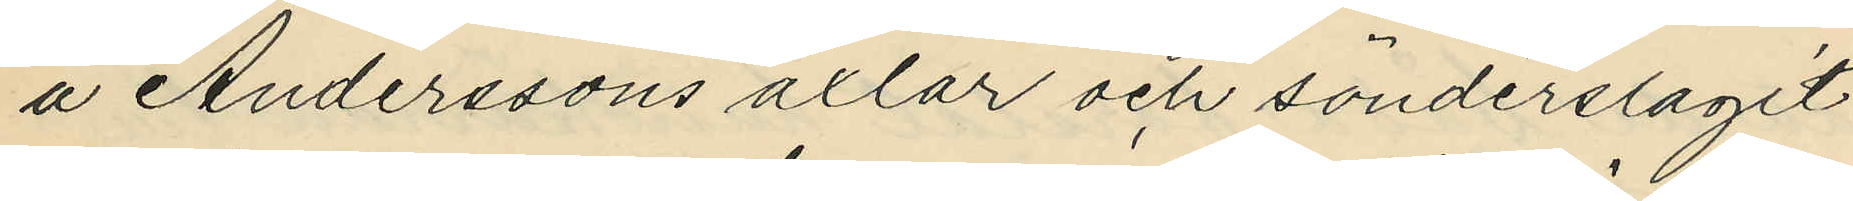å Anderssons axlar och sönderslagit
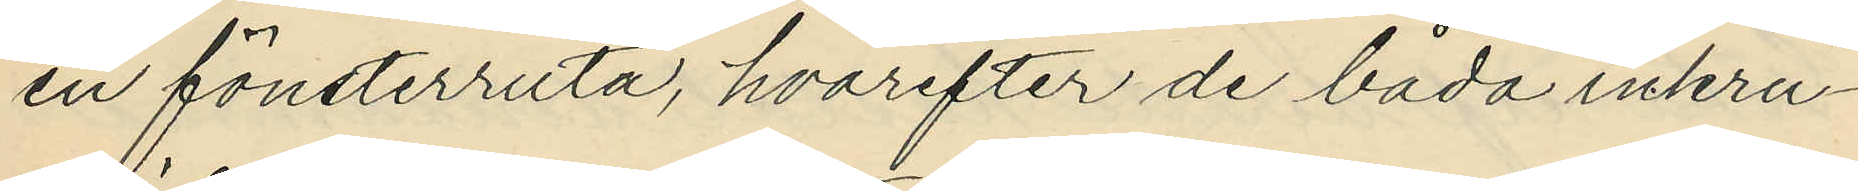en fönsterruta, hvarefter de båda inkru¬
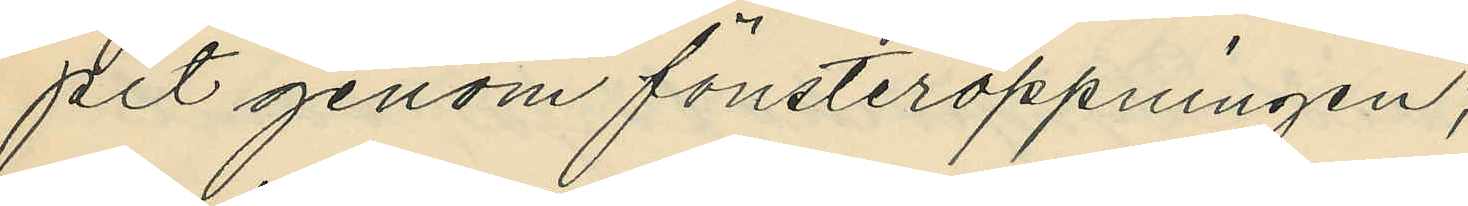pit genom fönsteröppningen;
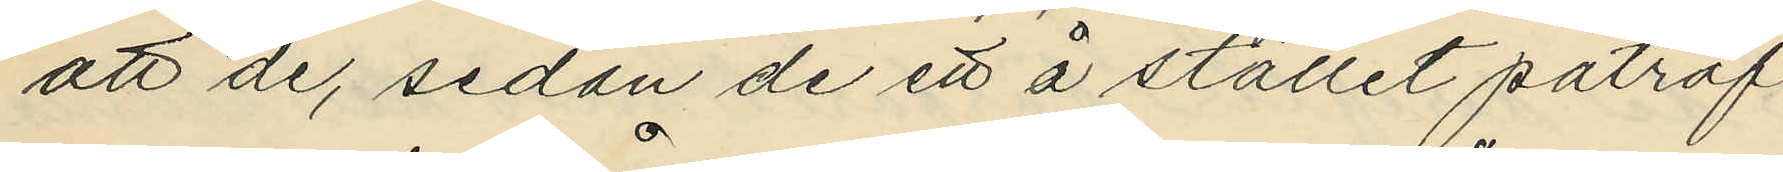att de, sedan de ett å stället påträf¬
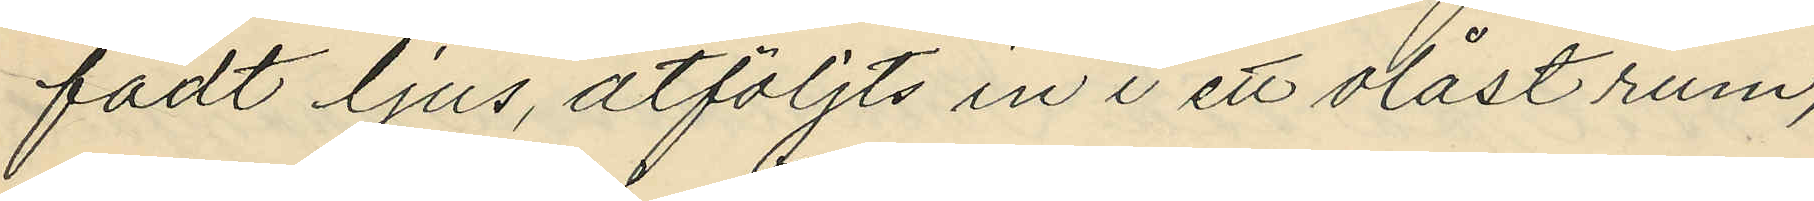fadt ljus, åtföljts in i ett olåst rum,
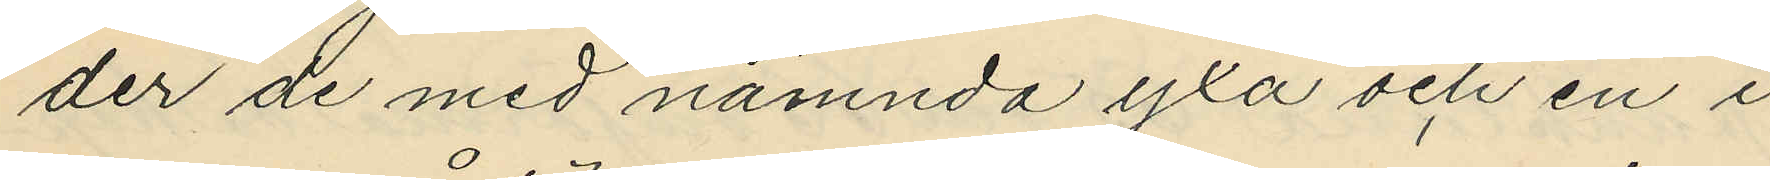der de med nämnda yxa och en i
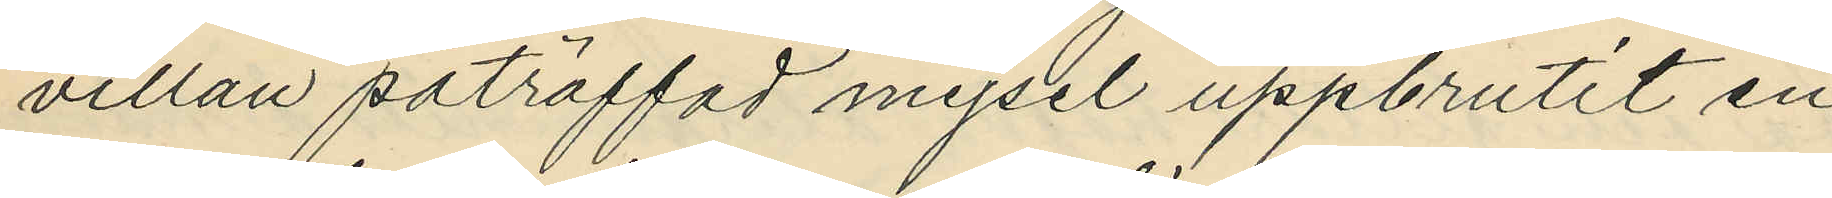villan påträffad mejsel uppbrutit en
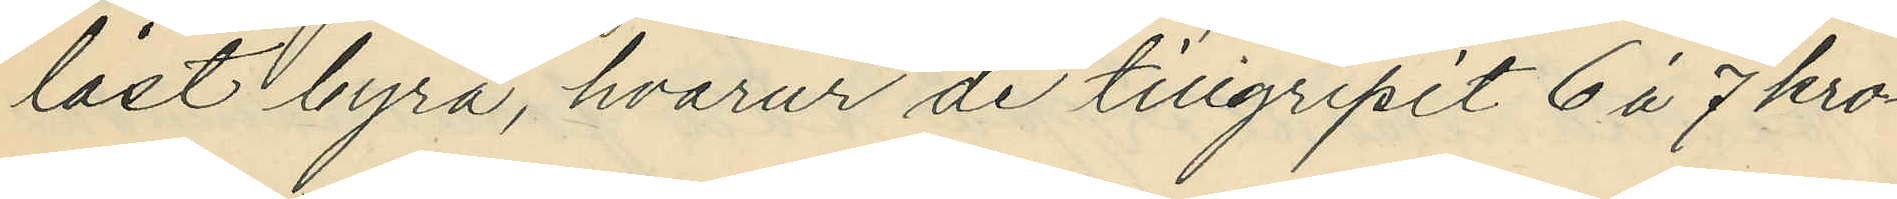låst byrå, hvarur de tillgripit 6 à 7 kro¬
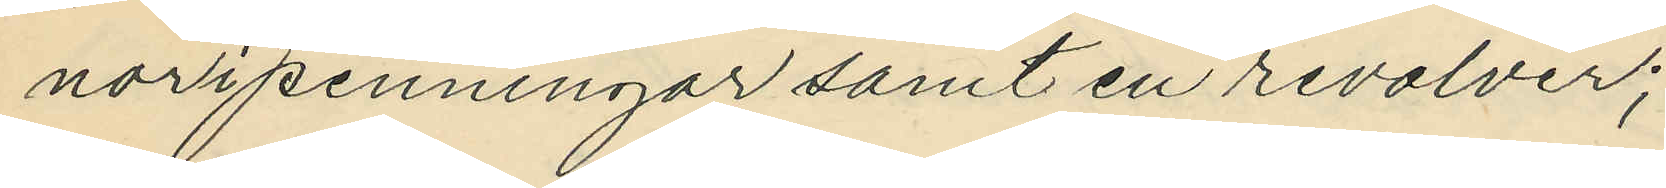nor i penningar samt en revolver;
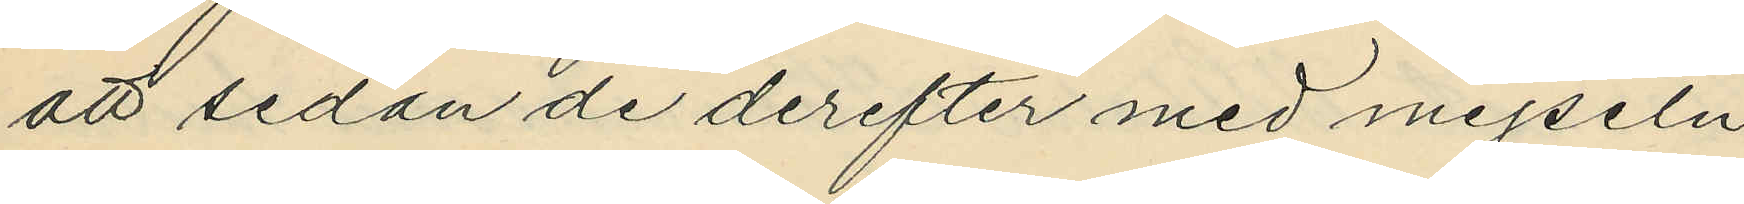att sedan de derefter med mejseln
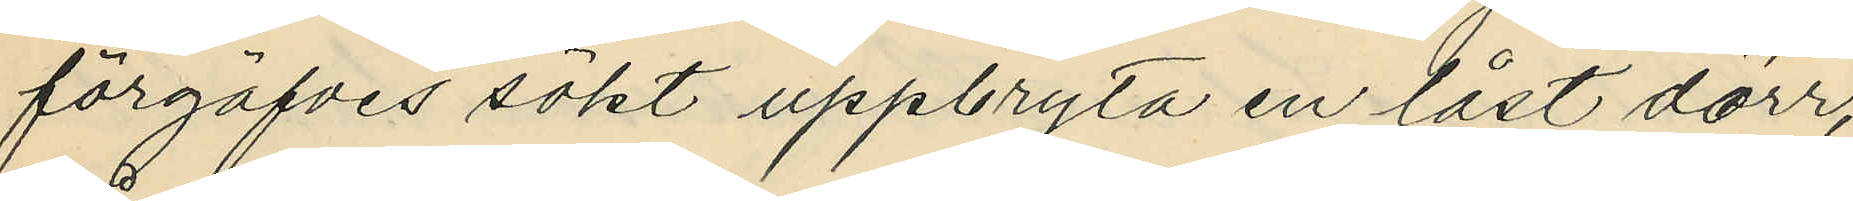förgäfves sökt uppbryta en låst dörr,
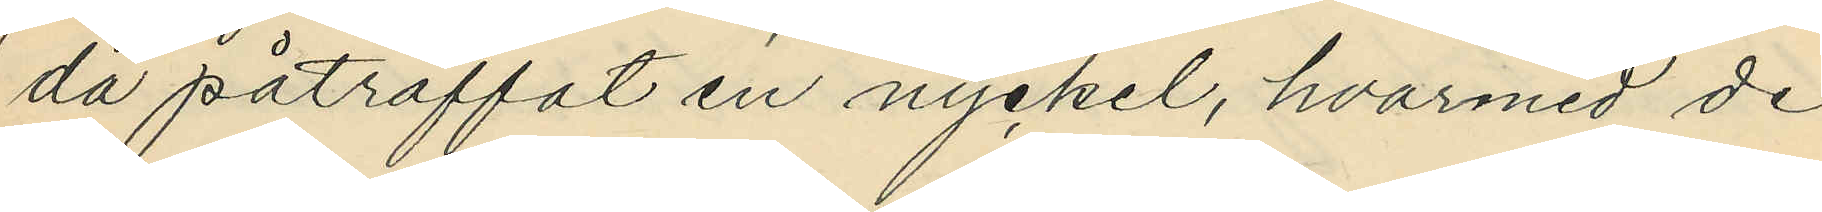då påträffat en nyckel, hvarmed de
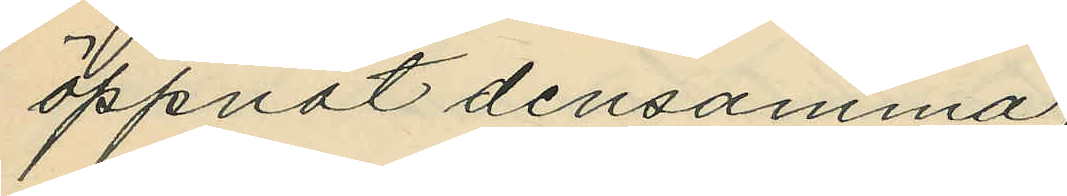öppnat densamma;
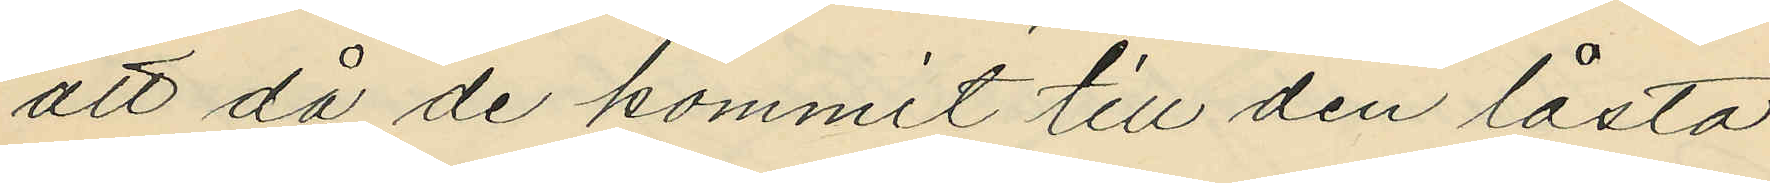att då de kommit till den låsta
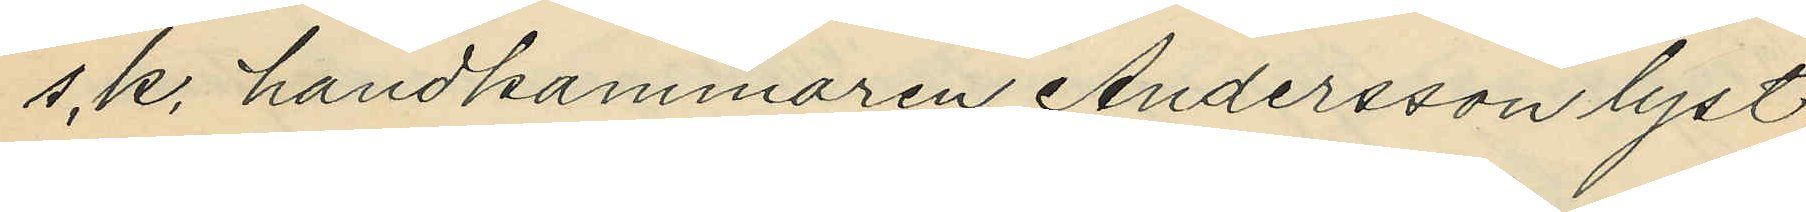s.k. handkammaren Andersson lyst
